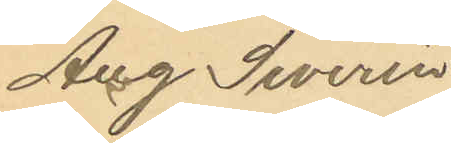Aug Severin
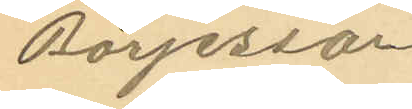Börjesson
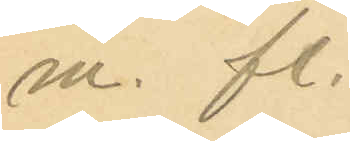m. fl.
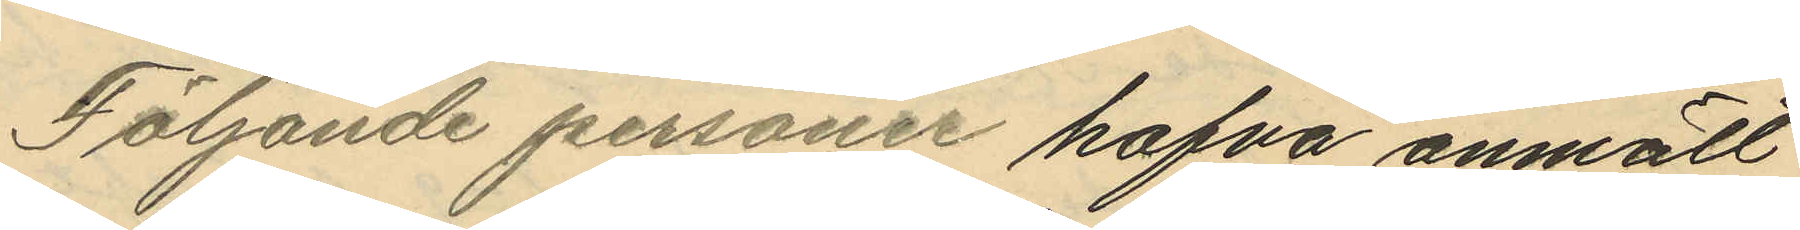Följande personer hafva anmält
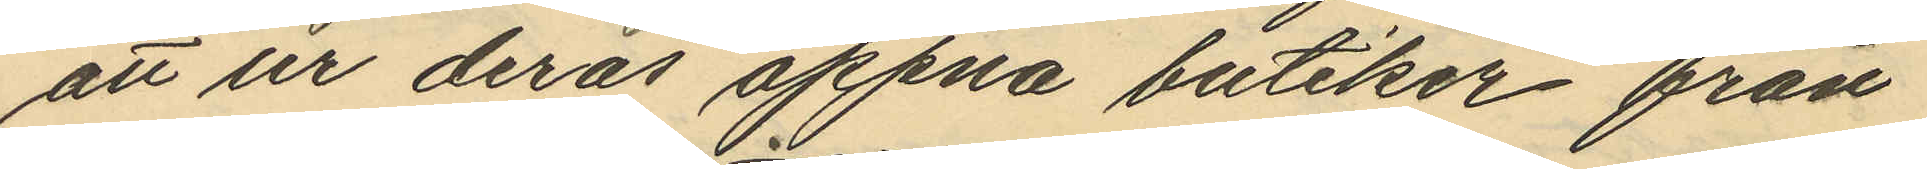att ur deras öppna butiker från
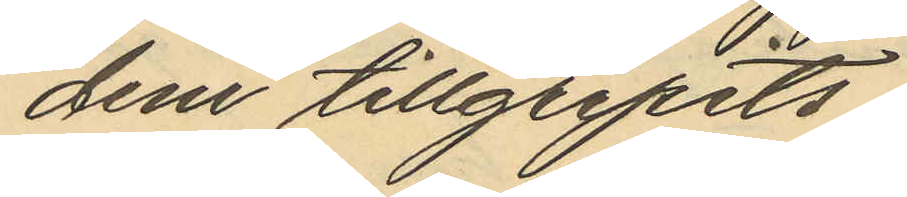dem tillgripits
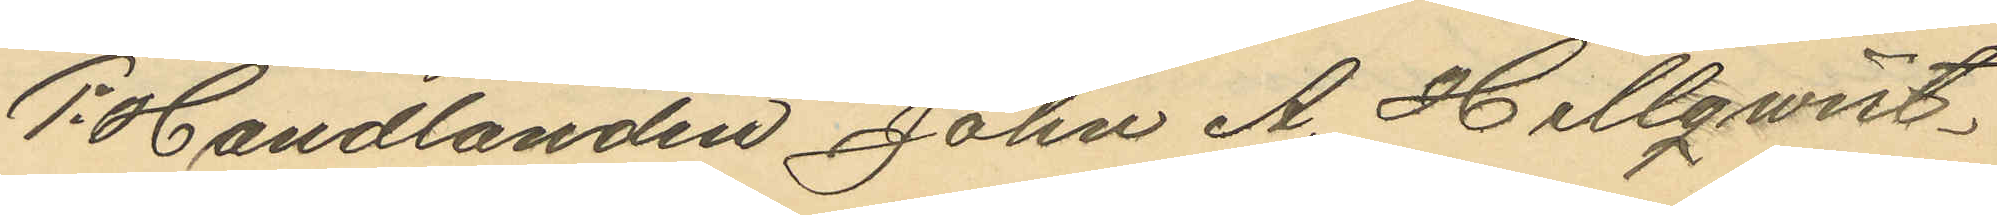1o Handlanden John A. Hellqvist
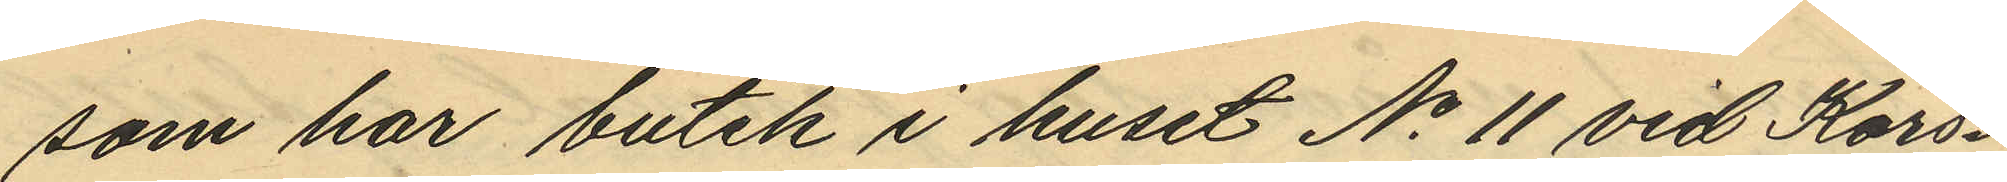som har butik i huset No 11 vid Kors¬
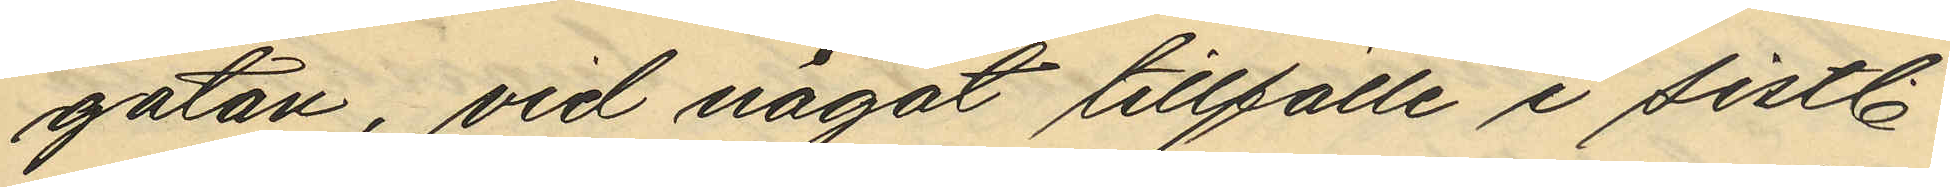gatan, vid något tillfälle i sistl
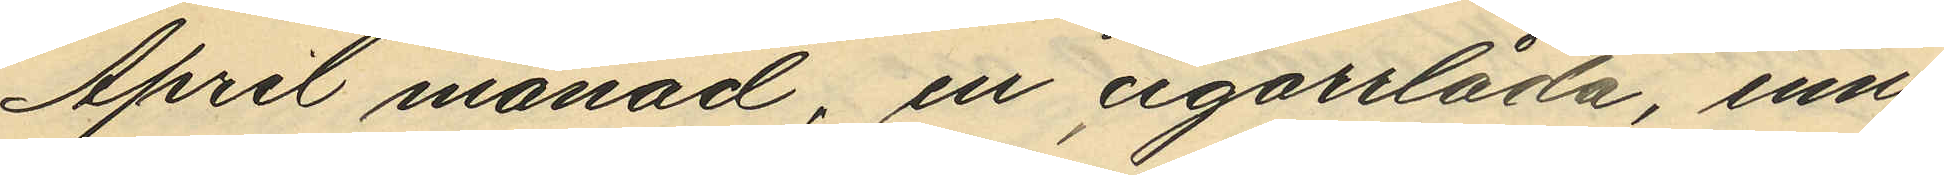April månad, en cigarrlåda, inne¬
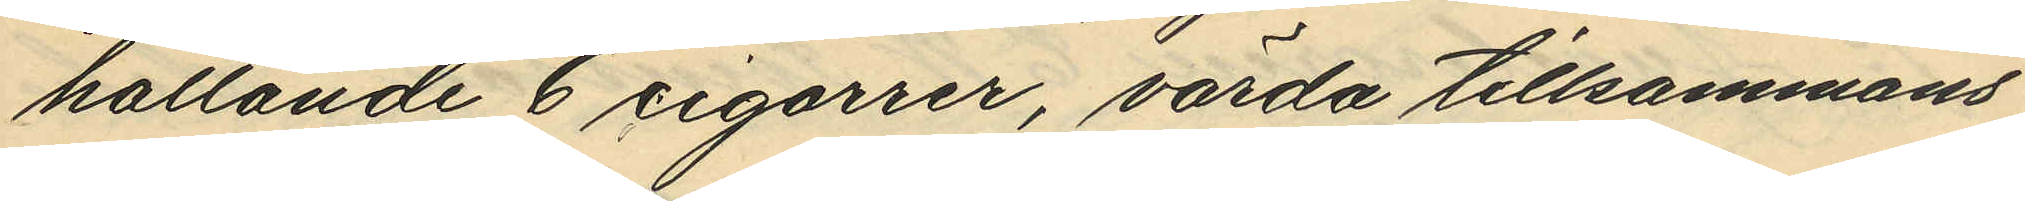hållande Ecigarrer, värda tillsammans
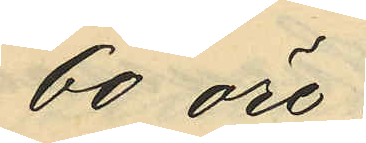60 öre;
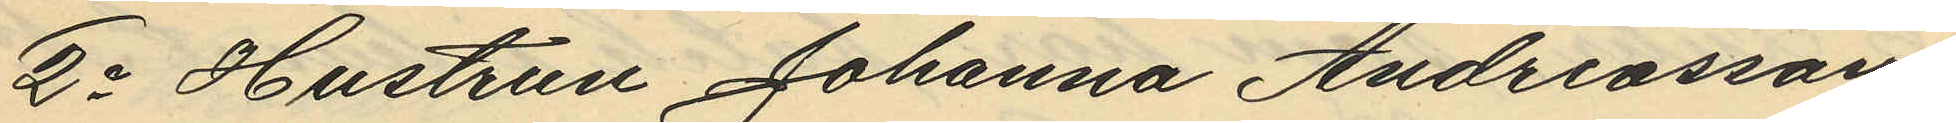2o Hustrun Johanna Andreasson,
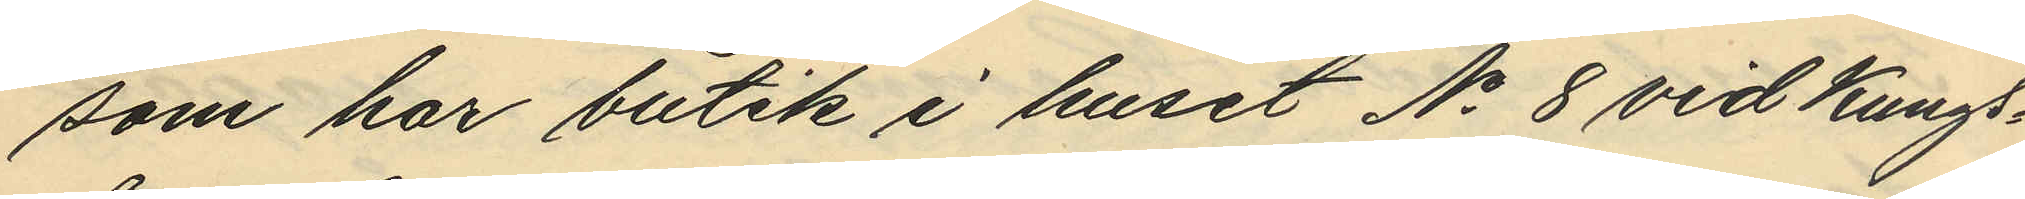som har butik i huset No 8 vid Kungs¬
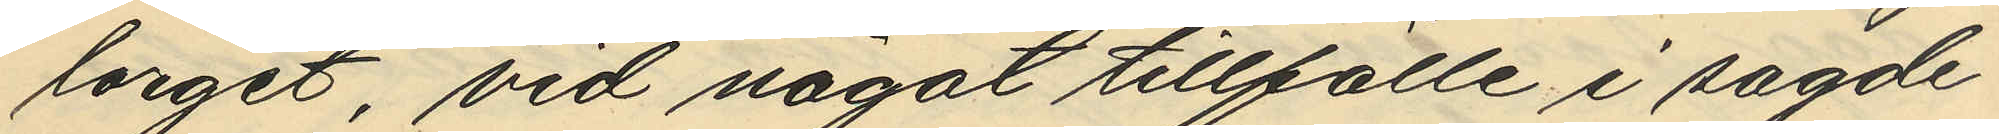torget, vid något tillfälle i sagde
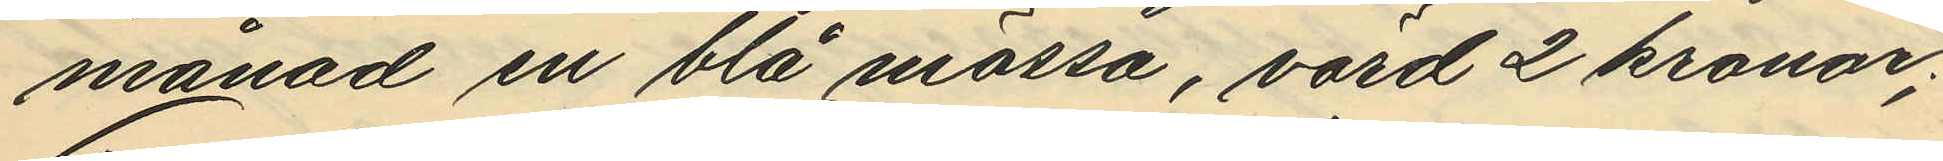månad en blå mössa, värd 2 kronor;
